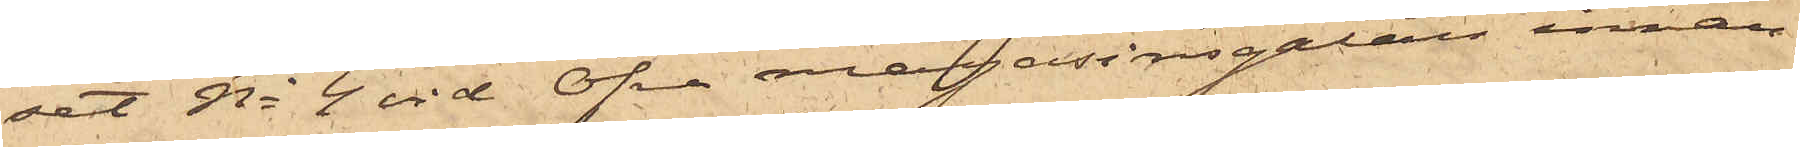set No 4 vid Öfre magasinsgatan innan¬
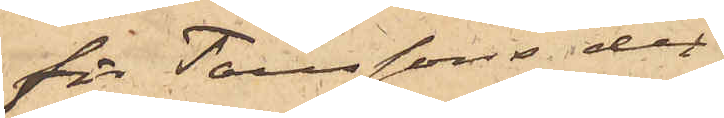för Taussons der
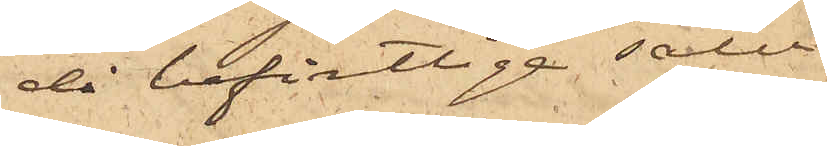då befintlige salu¬
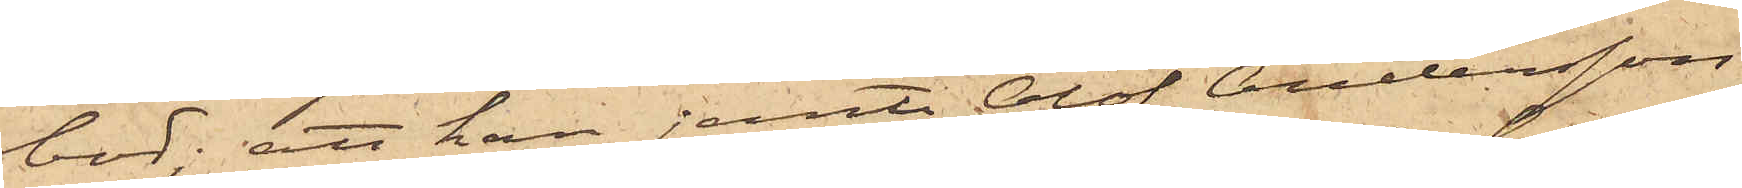bod; att han jemte Olof Andersson
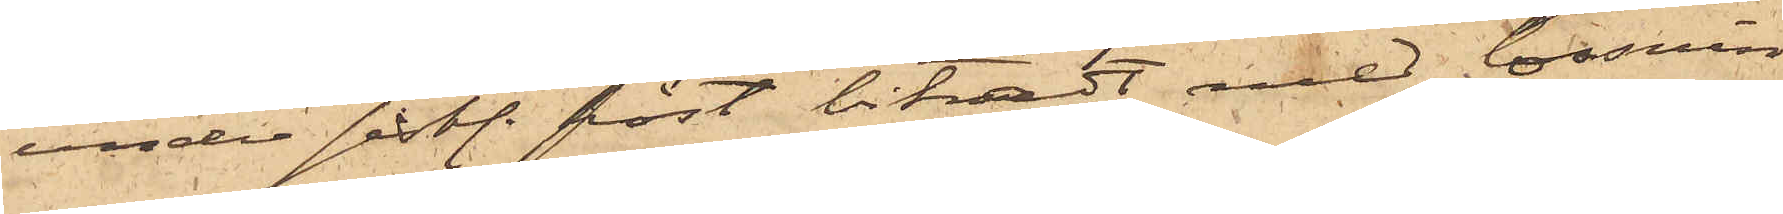under sistl. höst bistådt med lossnin¬
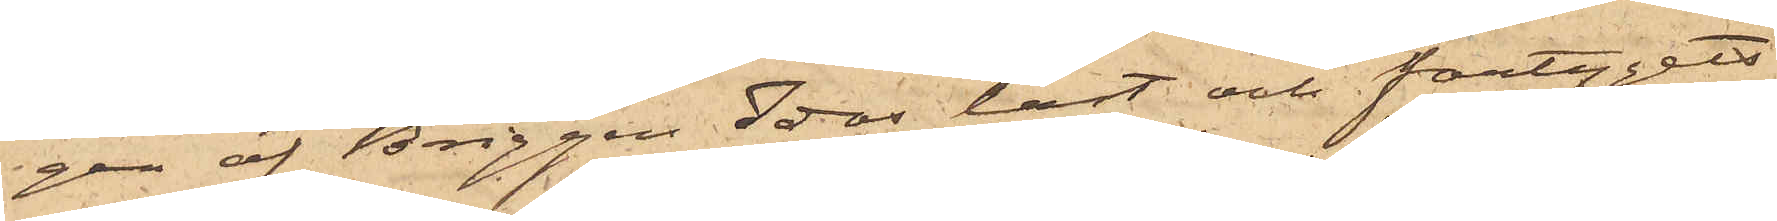gen af Briggen Idas last och fartygets
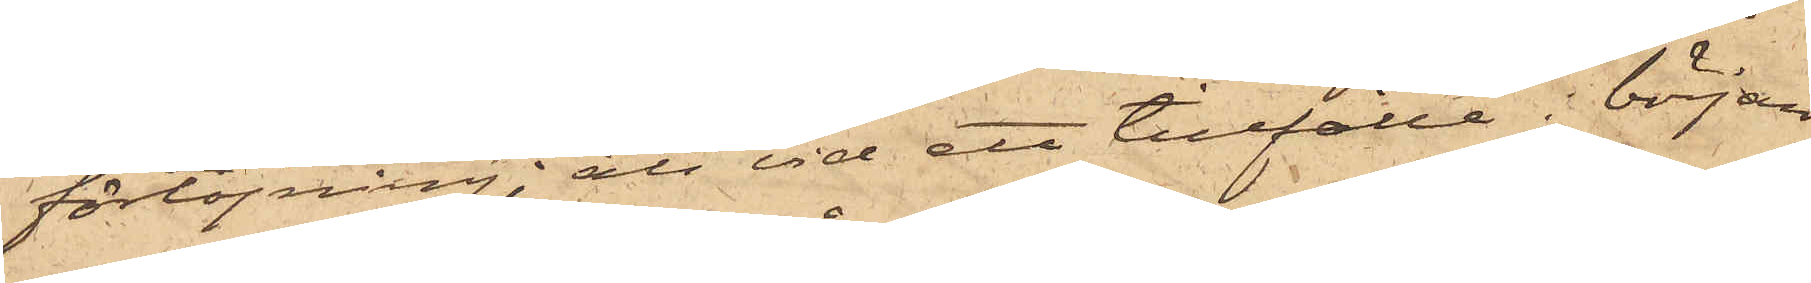förtöjning; att vid ett tillfälle i början
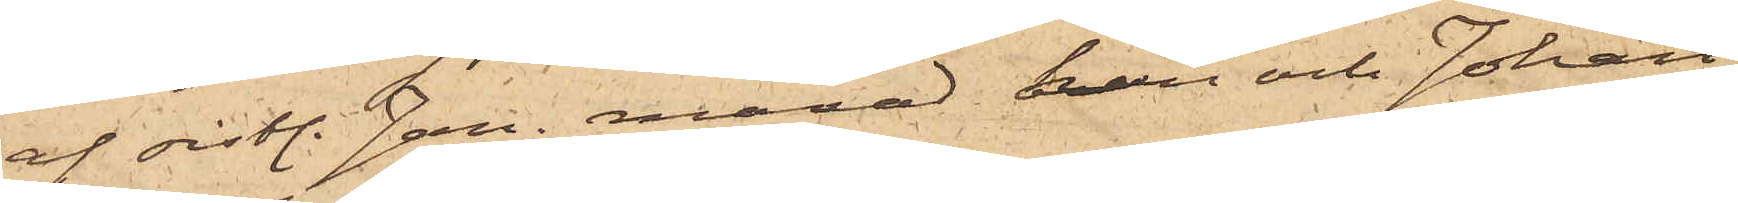af sistl. Jan. månad han och Johan
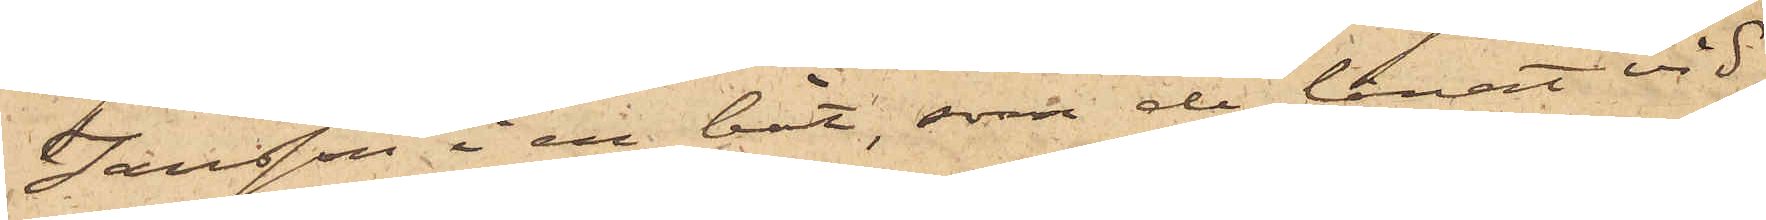Jansson i en båt, som de lånat vid
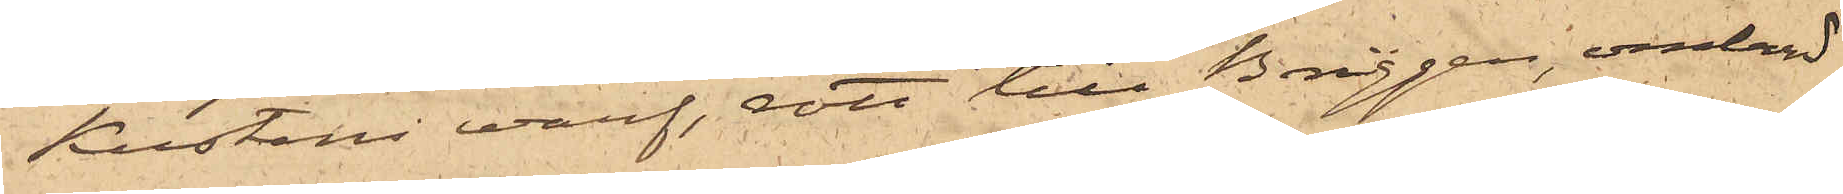Kustens warf, rott till Briggen, ombord
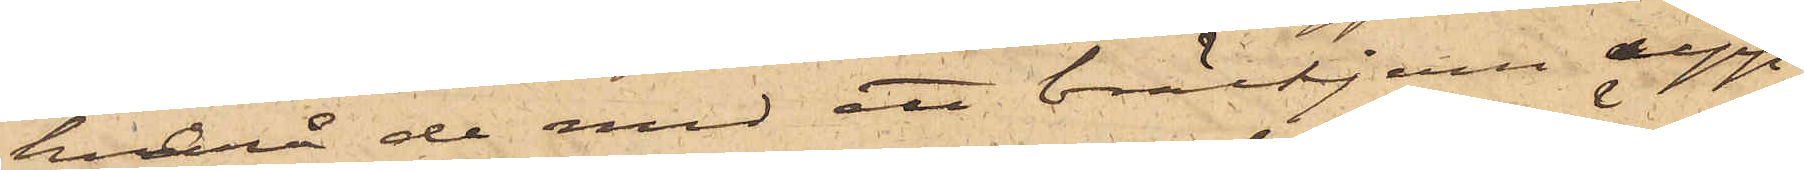hvarå de med ett bräckjern upp¬
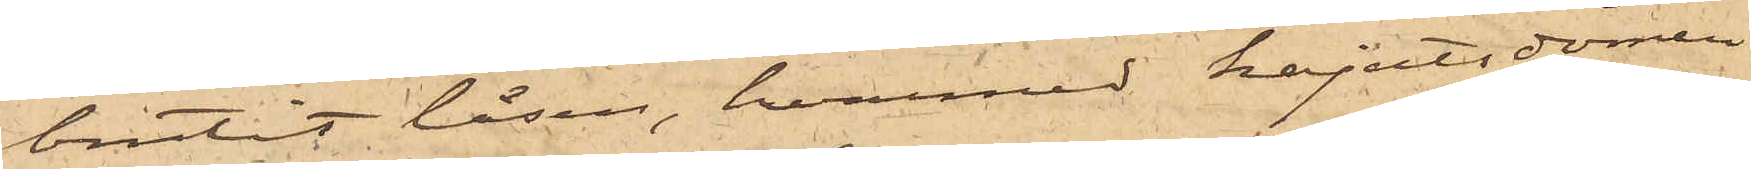brutit låsen, hvarmed kajutadörren
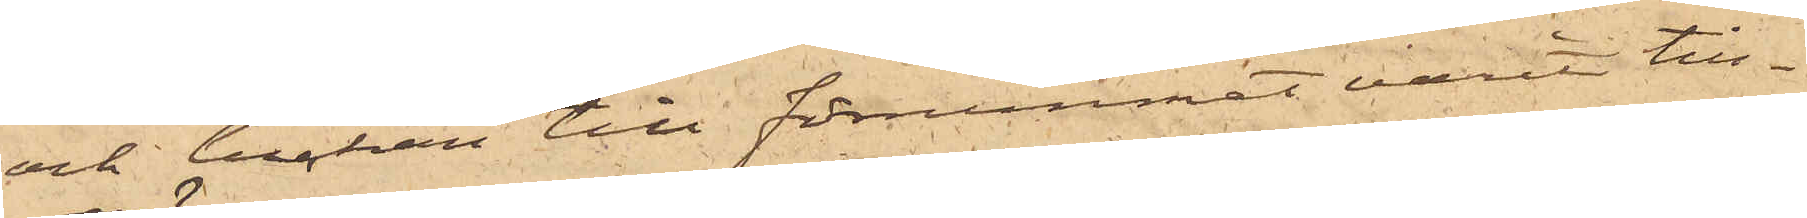och luckan till förrummet varit till¬
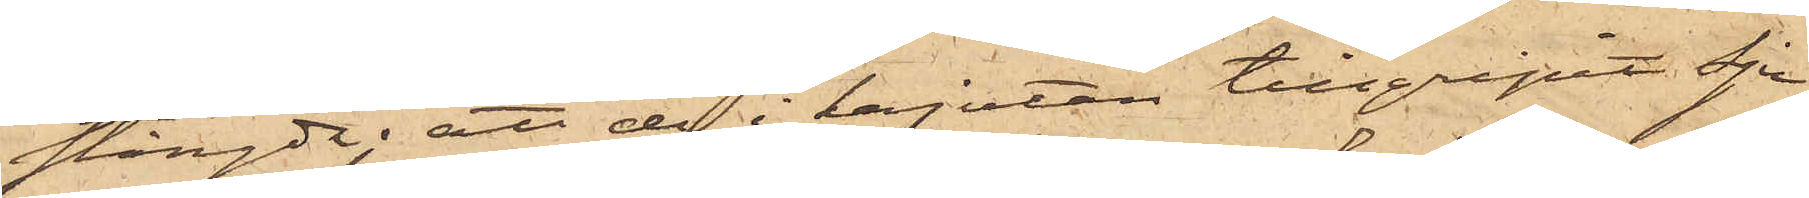stängde; att de i kajutan tillgripit sju
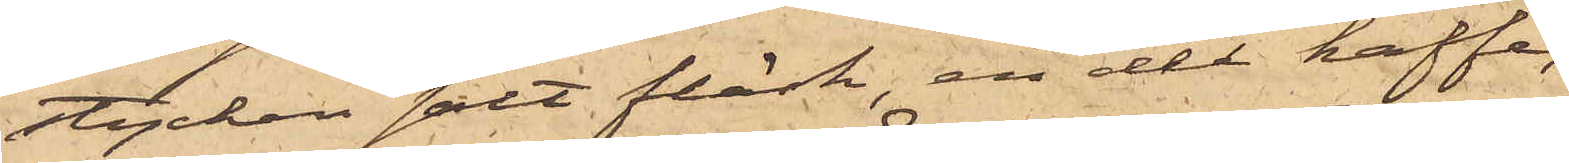stycken salt fläsk, en del kaffe,
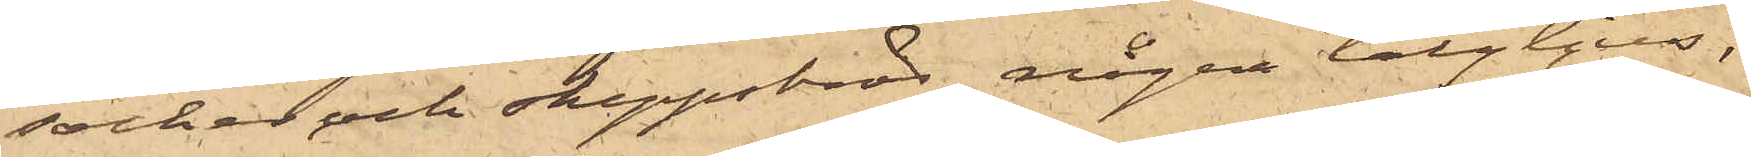socker och skeppsbröd, några talgljus,
